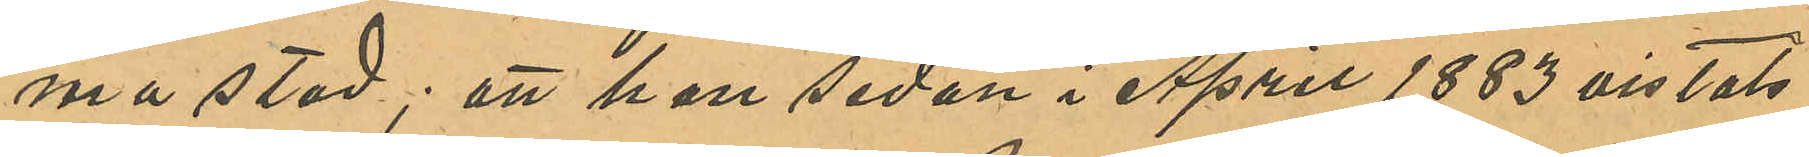ma stad; att han sedan i April 1883 vistats
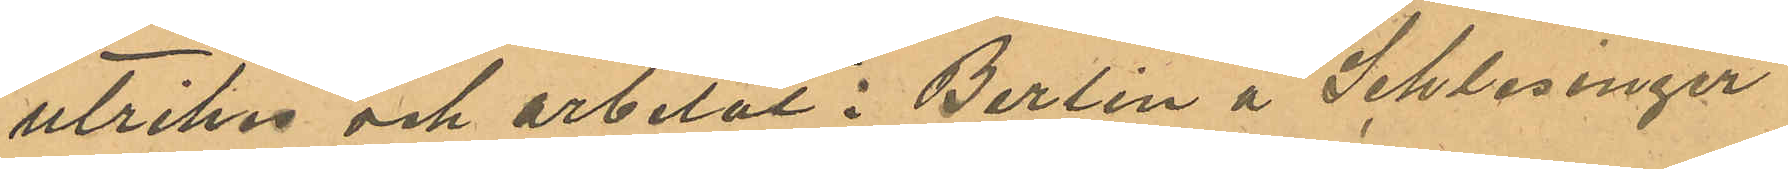utrikes och arbetat i Berlin å Schlesinger
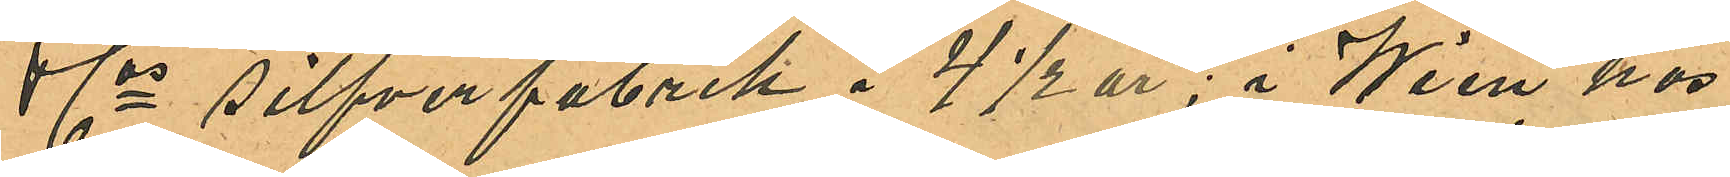& Cos silfverfabrik å 4½ år; i Wien hos
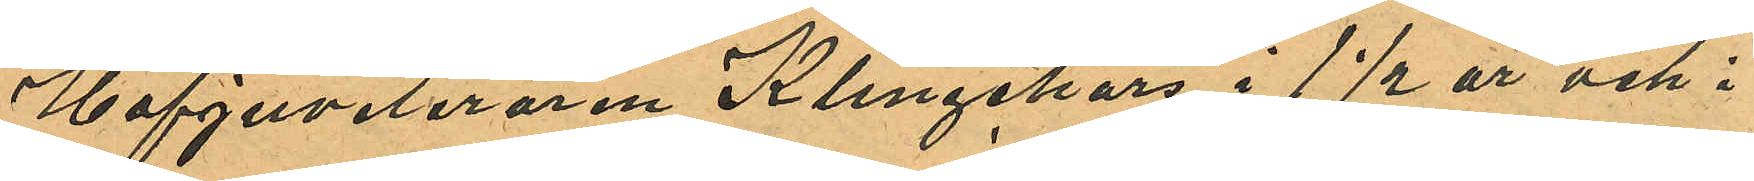Hofjuveleraren Klingehars i 1½ år och i
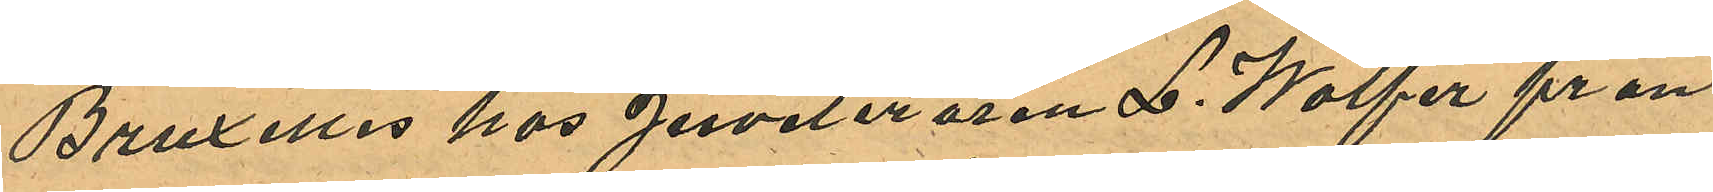Bruxelles hos Juveleraren L. Wolfer från
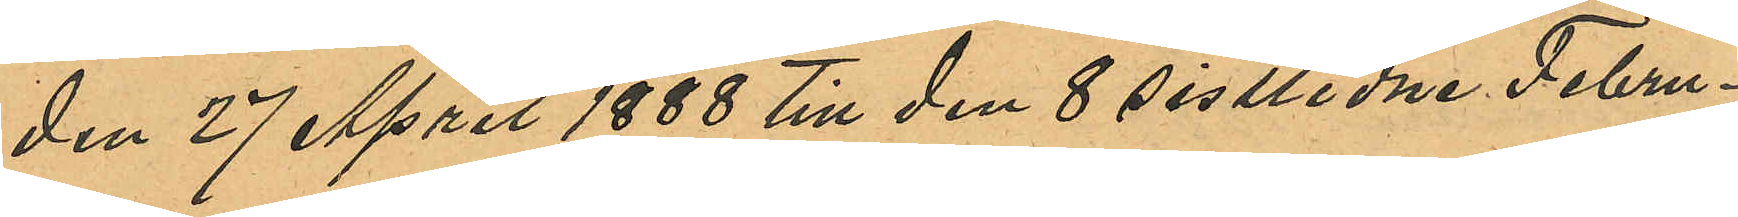den 27 April 1888 till den 8 sistlidne Febru¬
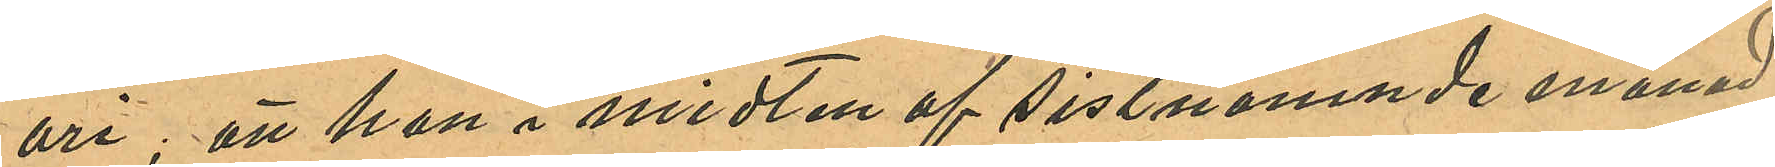ari; att han i midten af sistnämnde månad
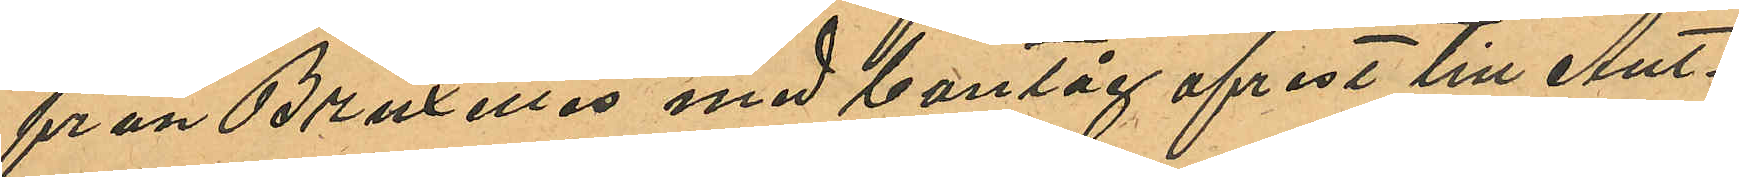från Bruxelles med bantåg afrest till Ant¬
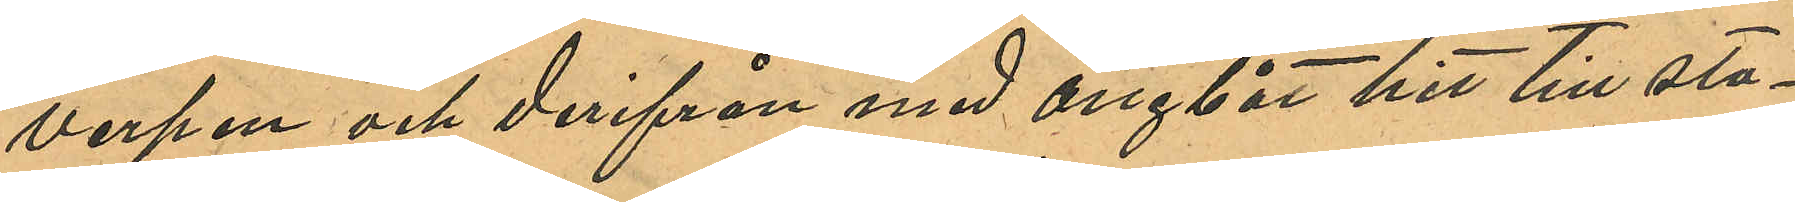verpen och derifrån med ångbåt hit till sta¬
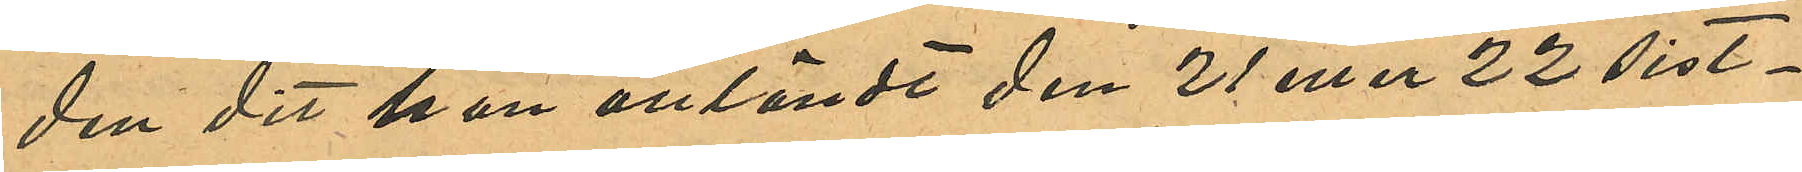den dit han anländt den 21 eller 22 sist¬
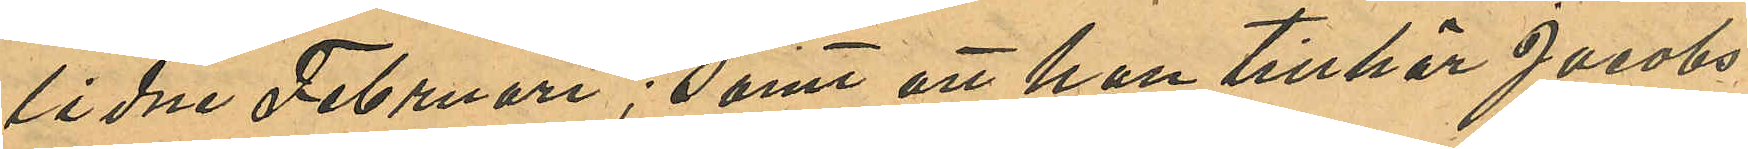lidne Februari; samt att han tillhör Jacobs
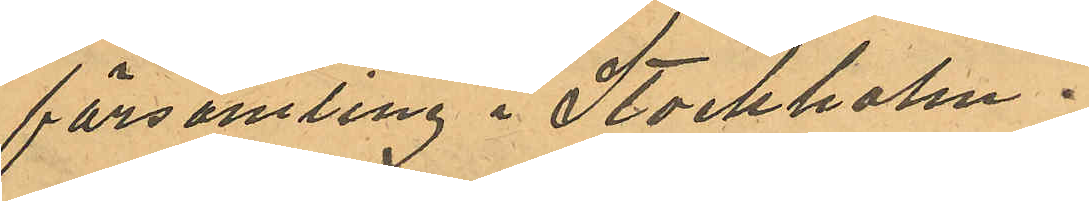församling i Stockholm.
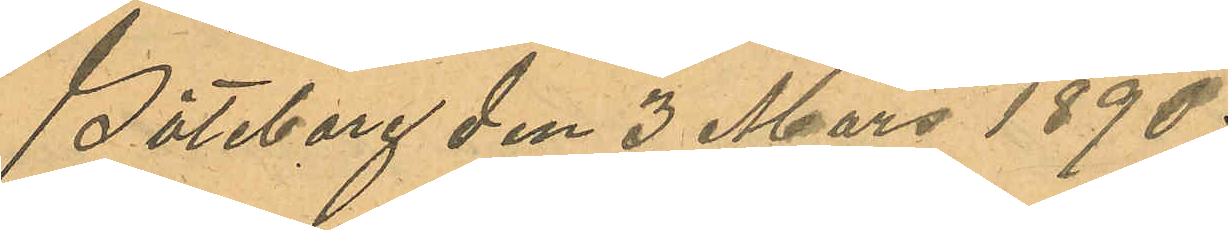Göteborg den 3 Mars 1890.
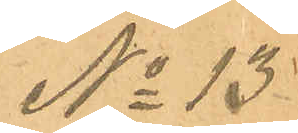No 13
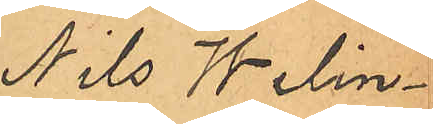Nils Welin¬
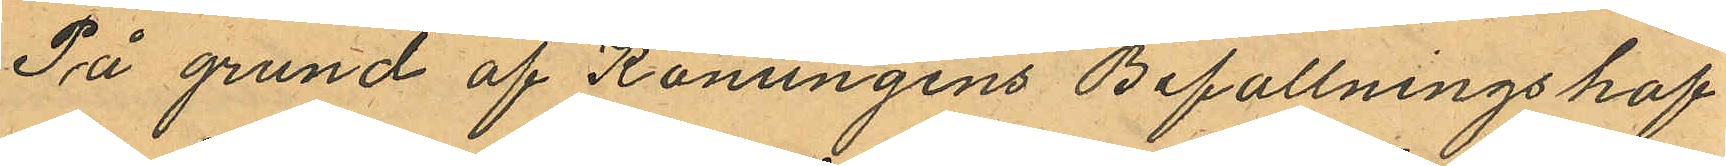På grund af Konungens Befallningshaf¬
